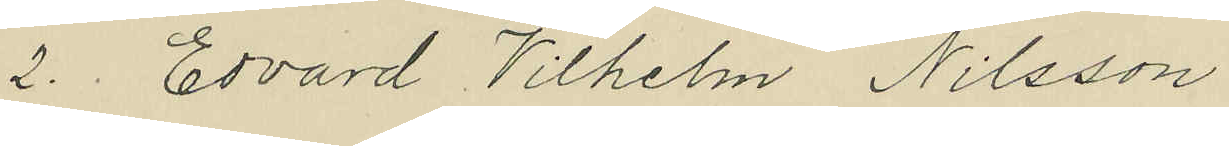2. Edvard Vilhelm Nilsson
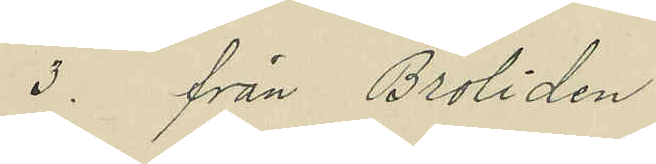3. från Broliden
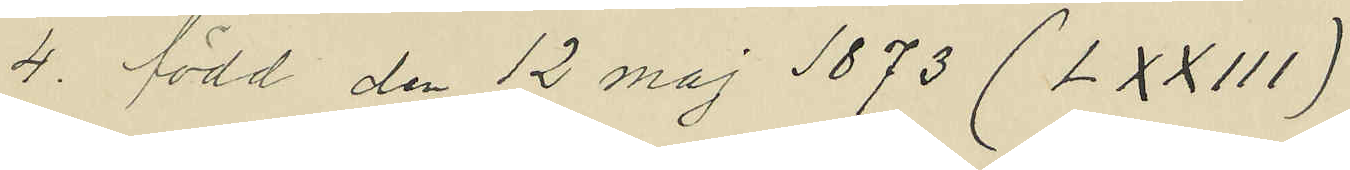4. född den 12 maj 1873 (LXXIII)
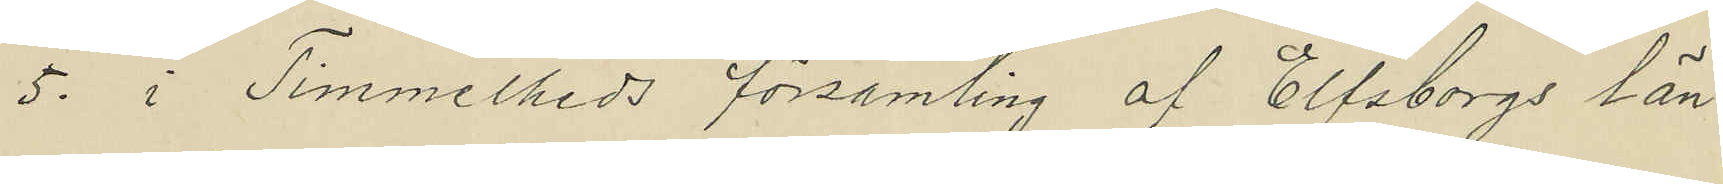5. i Timmelheds församling af Elfsborgs län
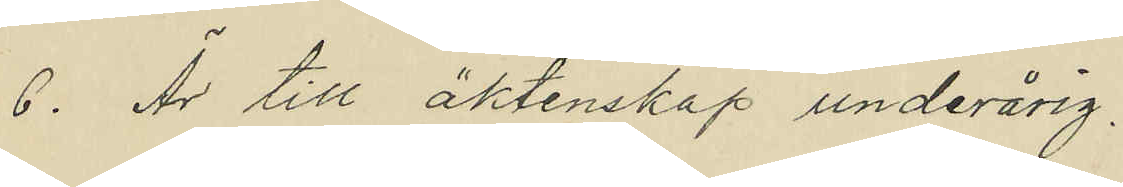6. Är till äktenskap underårig.
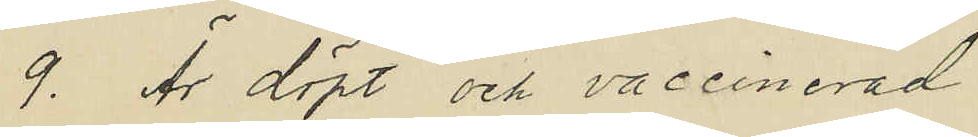9. Är döpt och vaccinerad
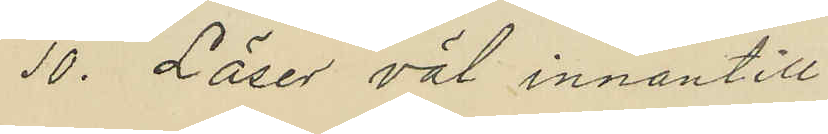10. Läser väl innantill
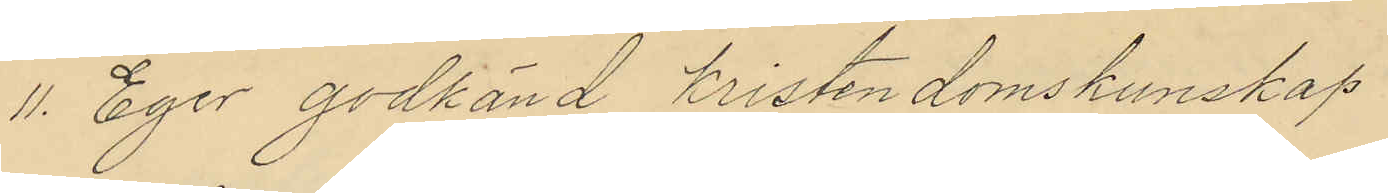11. Eger godkänd Kristendomskunskap
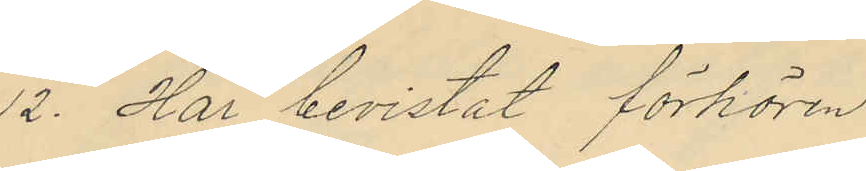12. Har bevistat förhören
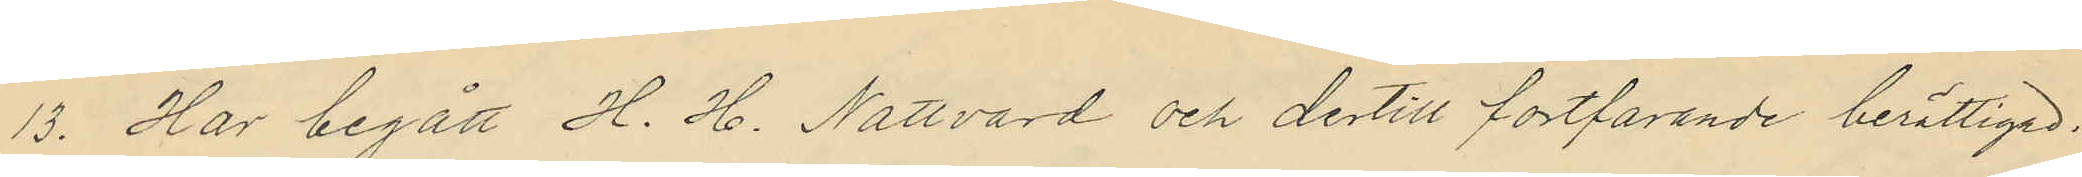13. Har begått H. H. Nattvard och dertill fortfarande berättigad.
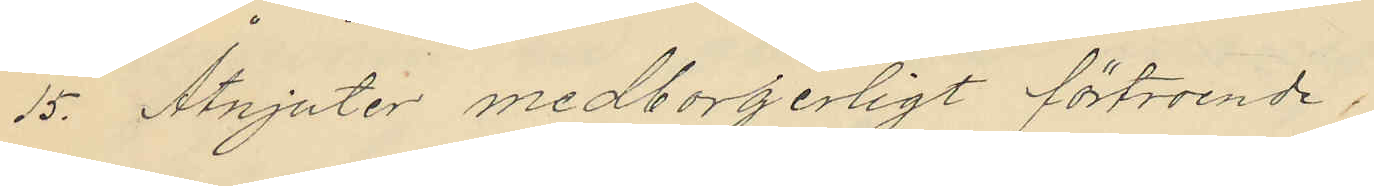15. Åtnjuter medborgerligt förtroende,
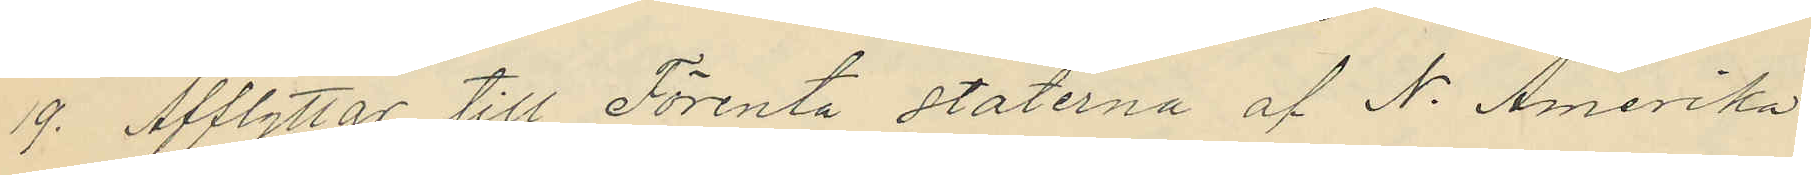19. Afflyttar till Förenta staterna af N. Amerika
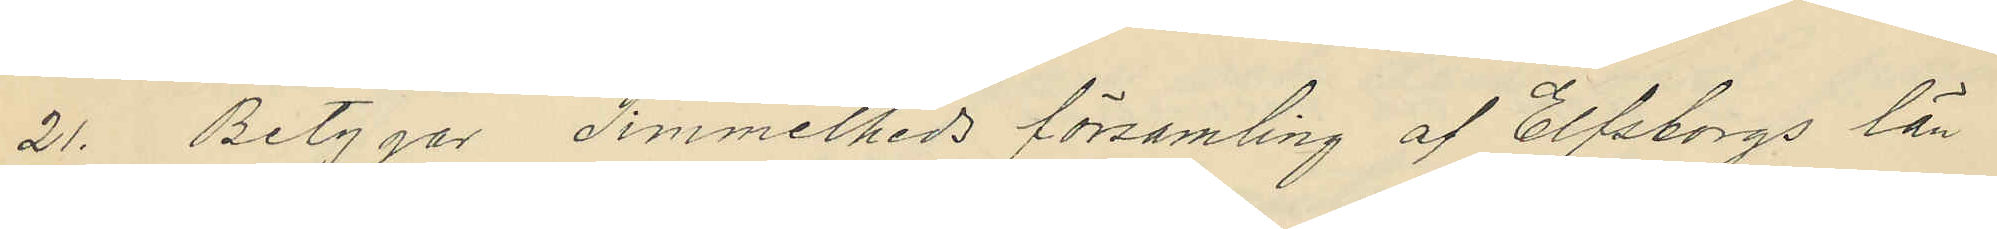21. Betygar Timmelheds församling af Elfsborgs län
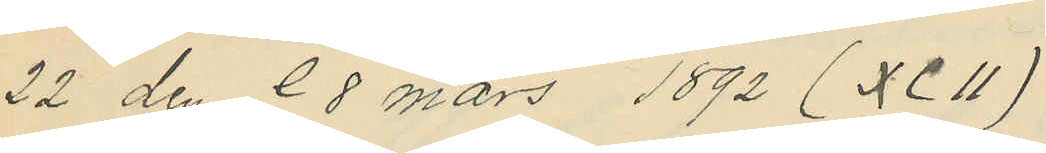22. den 28 mars 1892 (XCII)
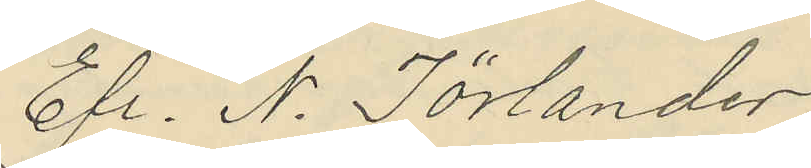Efr. N. Törlander
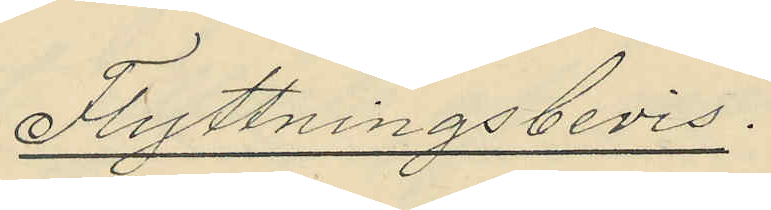Flyttningsbevis.
